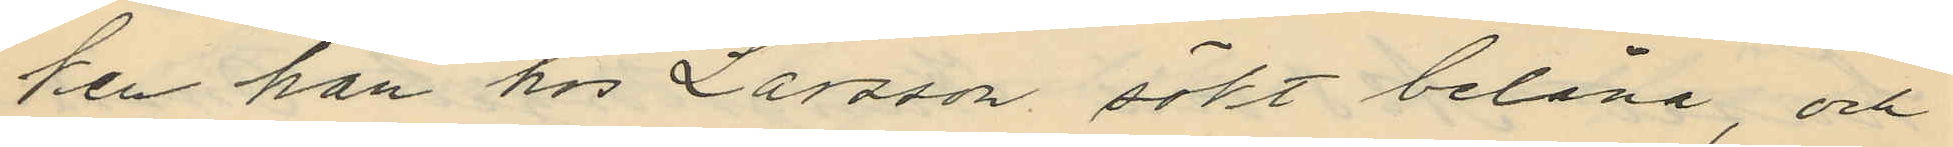ken han hos Larsson sökt belåna, och
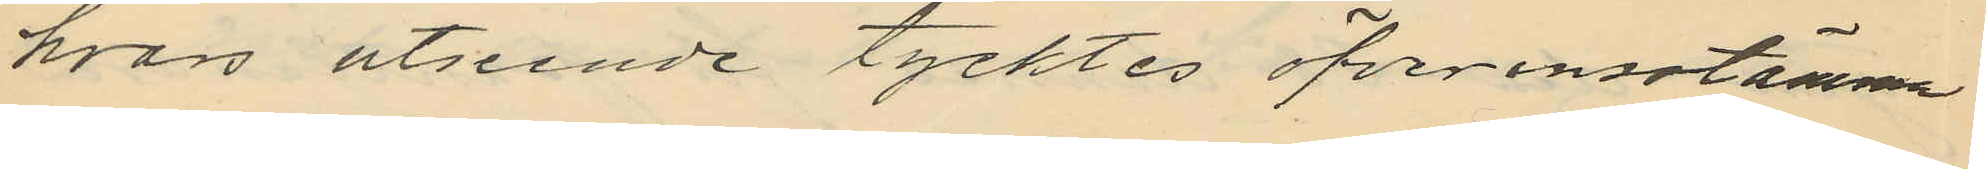hvars utseende tycktes öfverensstämma
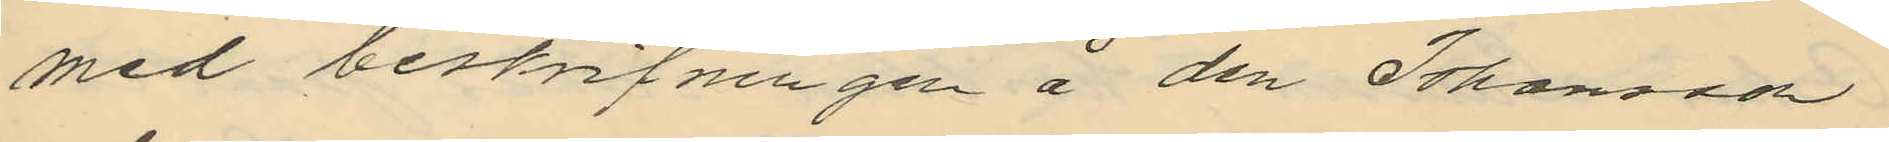med beskrifningen å den Johansson
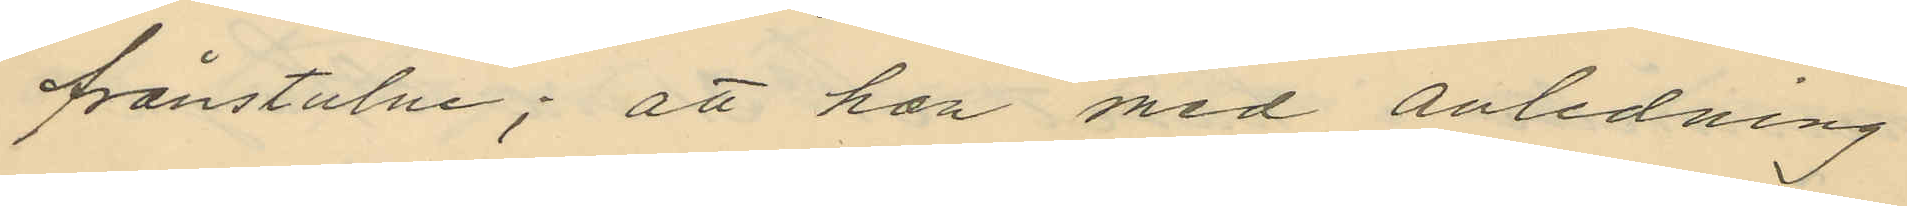frånstulne; att han med anledning
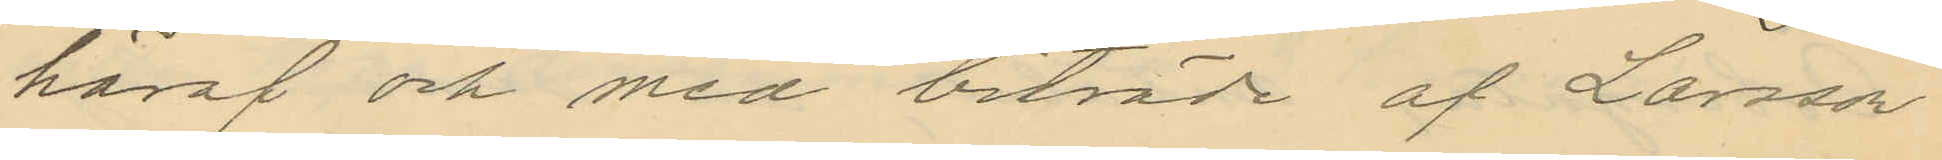häraf och med biträde af Larsson
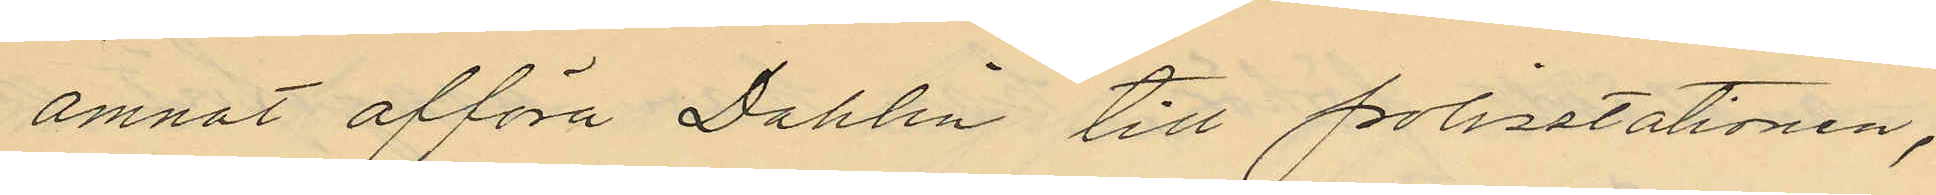ämnat afföra Dahlin till polisatationen,
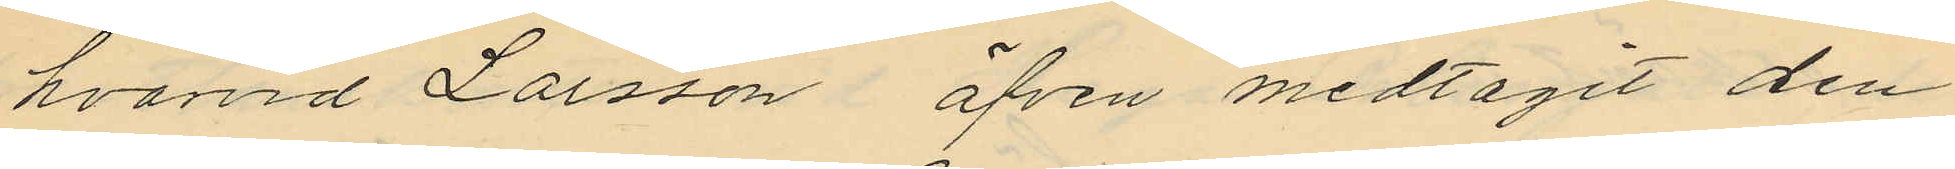hvarvid Larsson äfven medtagit den
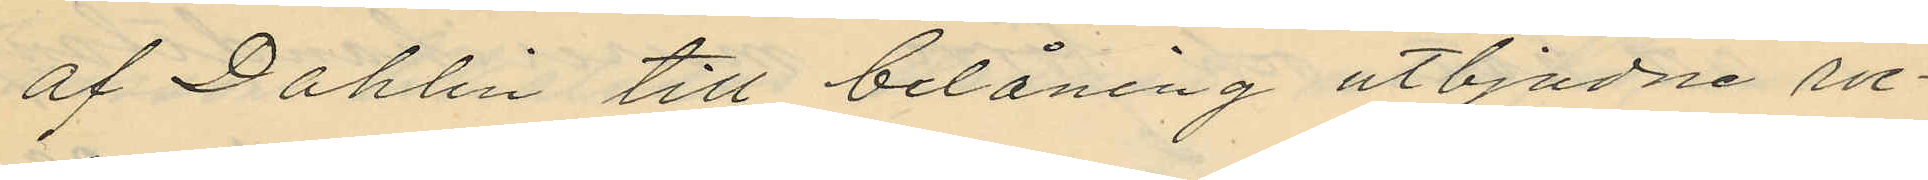af Dahlin till belåning utbjudne roc¬
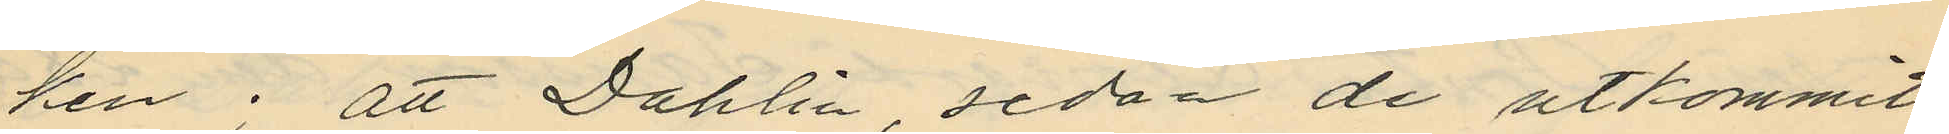ken; att Dahlin, sedan de utkommit
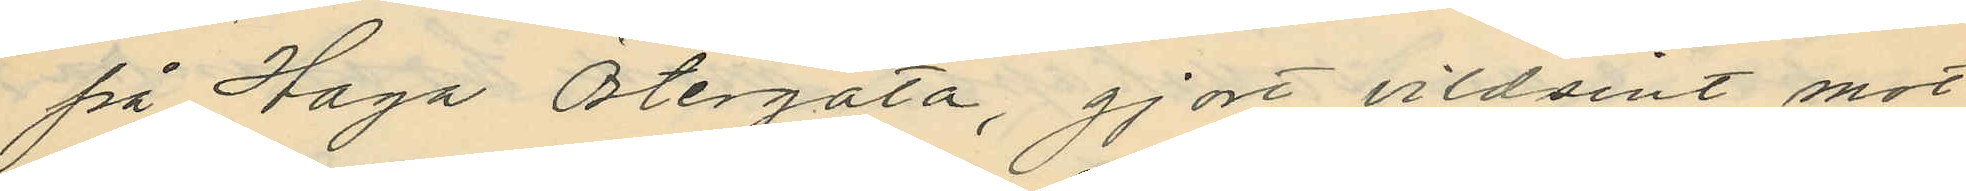på Haga Ötergata, gjort vildsint mot
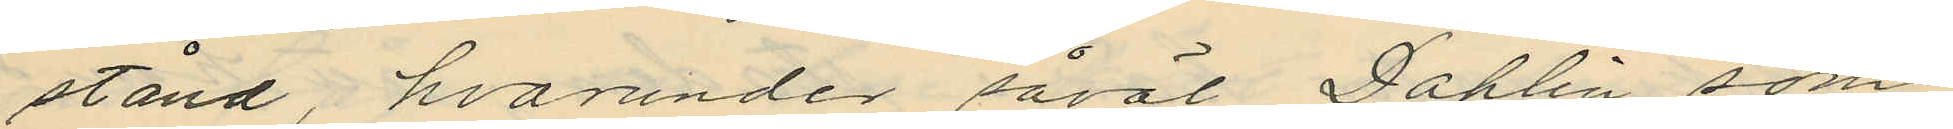stånd, hvarunder såväl Dahlin som
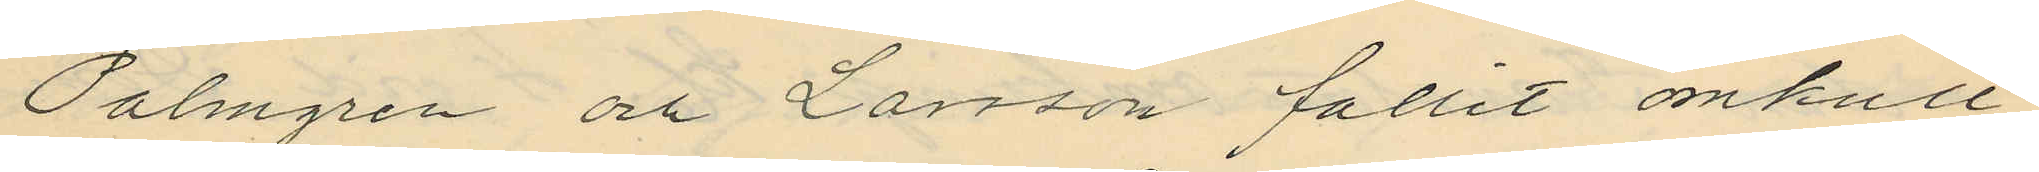Palmgren och Larsson fallit omkull
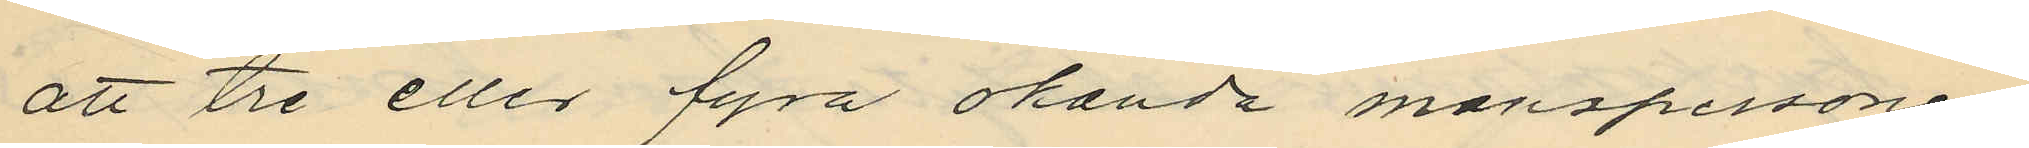att tre eller fyra okända manspersoner
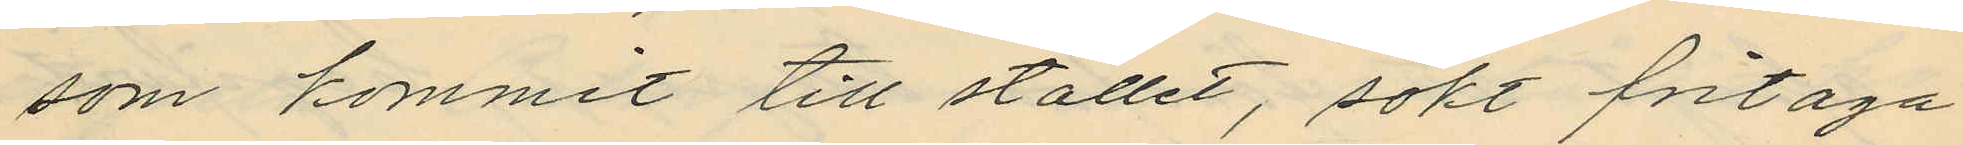som kommit till stället, sökt fritaga
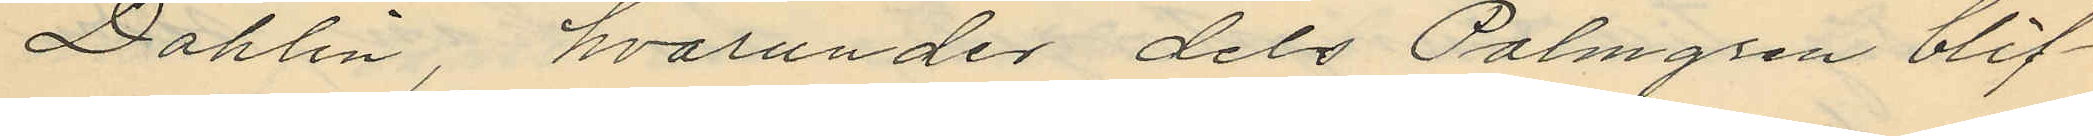Dahlin, hvarunder dels Palmgren blif¬
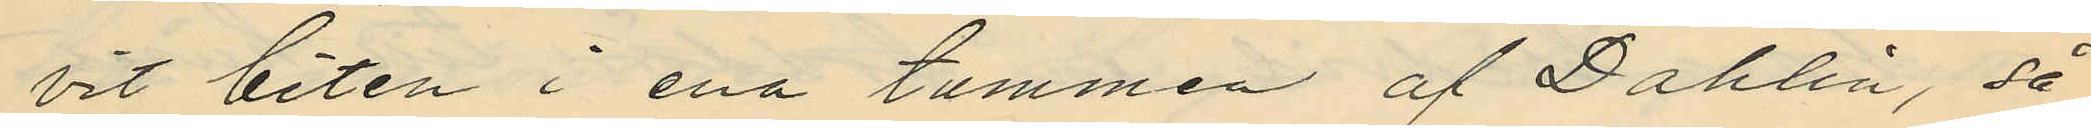vit biten i ena tummen af Dahlin, så
